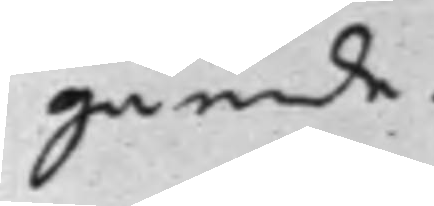gående.
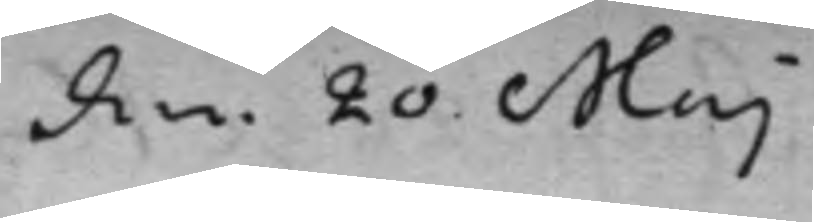den 20 Maj
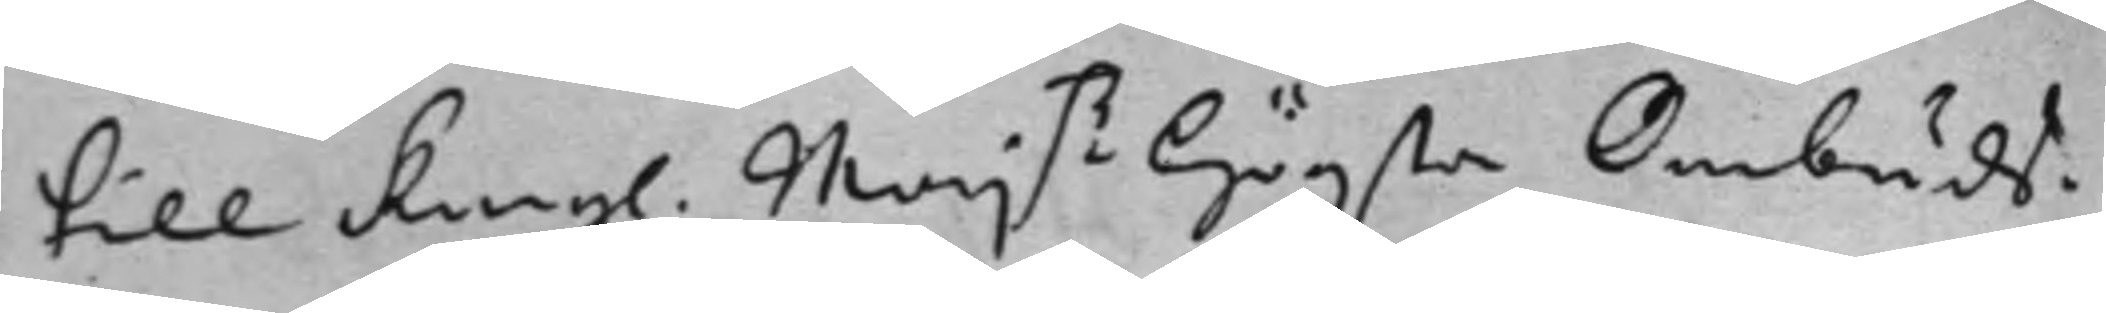till Kongl. Maj.tz Högsta Ombuds¬
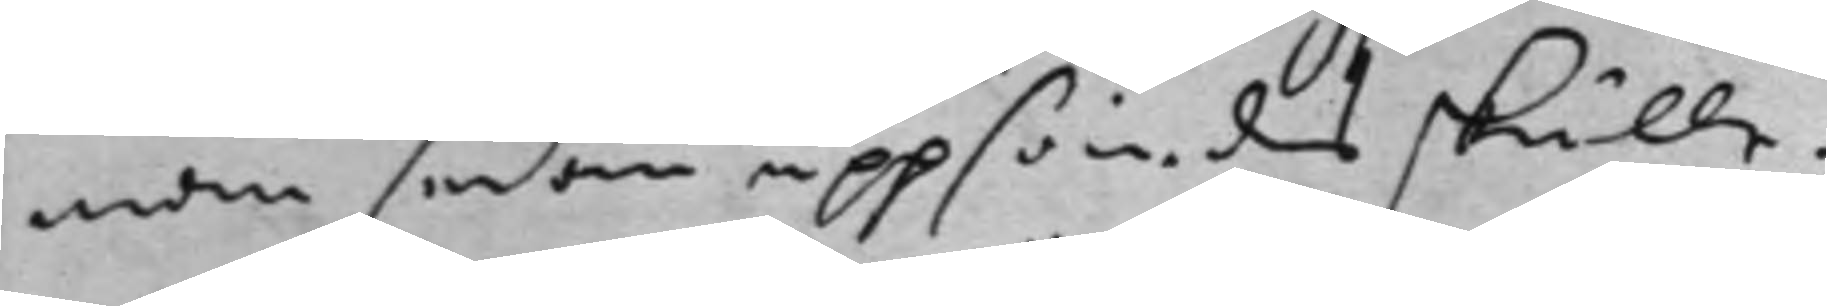man sedan uppsändes skulle.
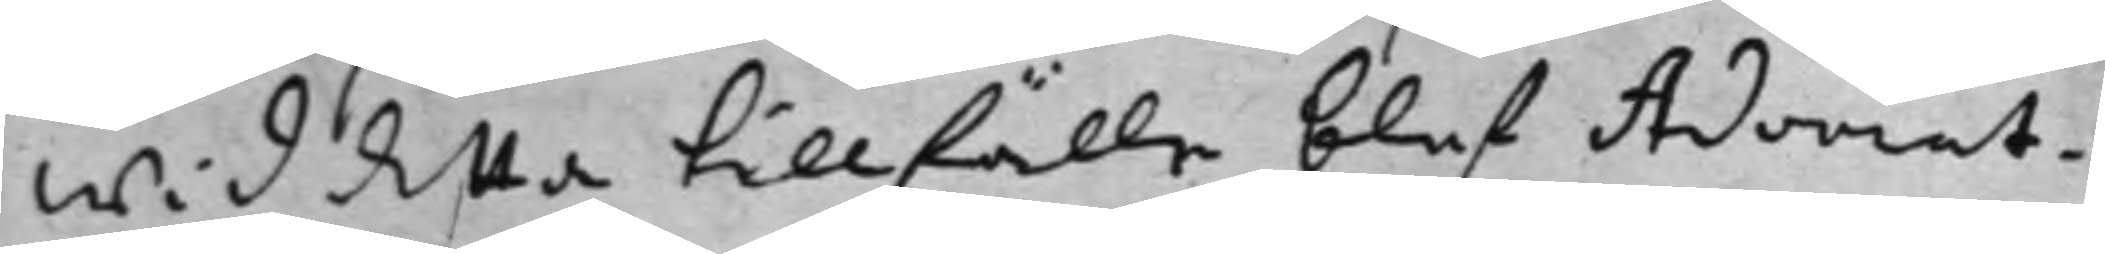Wid detta tillfälle blef Advocat¬
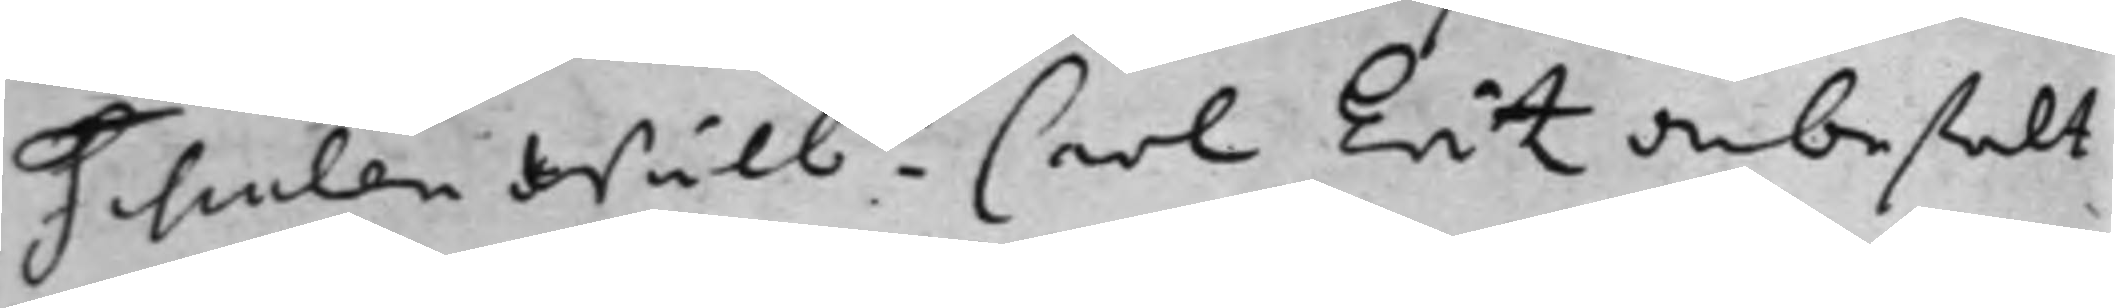Fiscalen Wälb.de Carl Eritz anbefalt
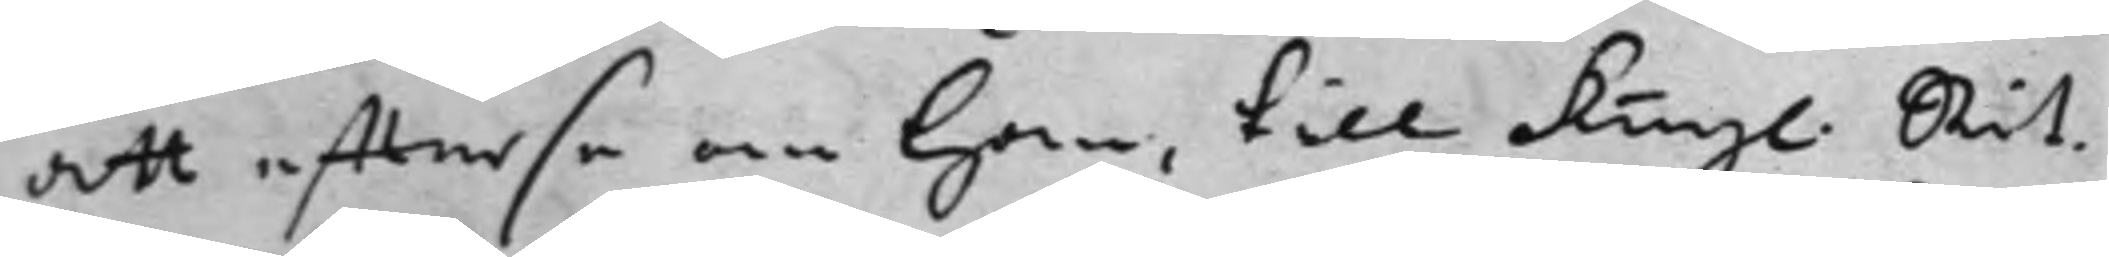att effterse om Han, till Kongl. Rät¬
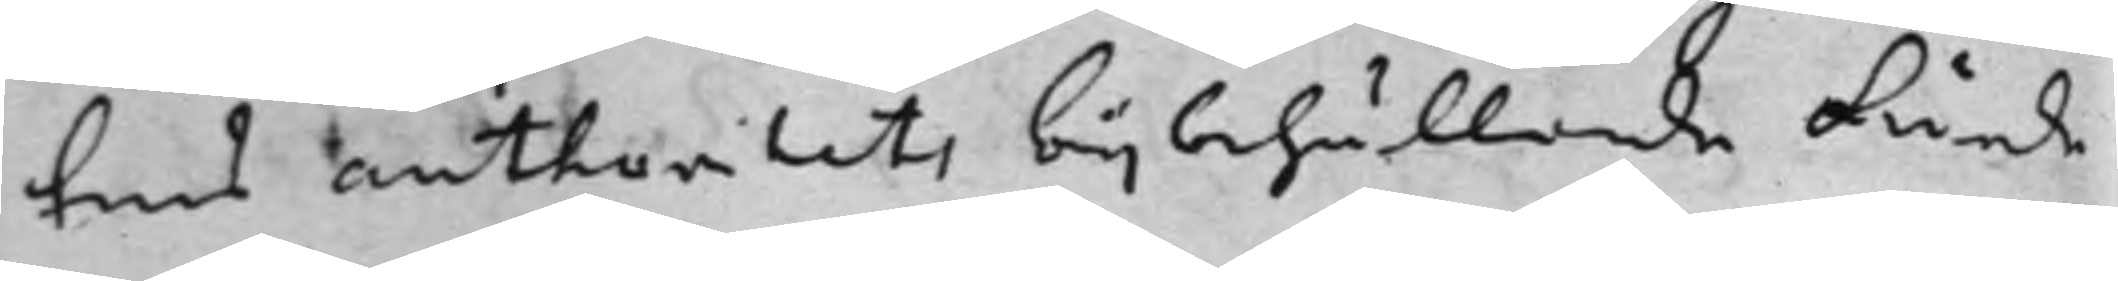tens authoritets bijbehållande kunde
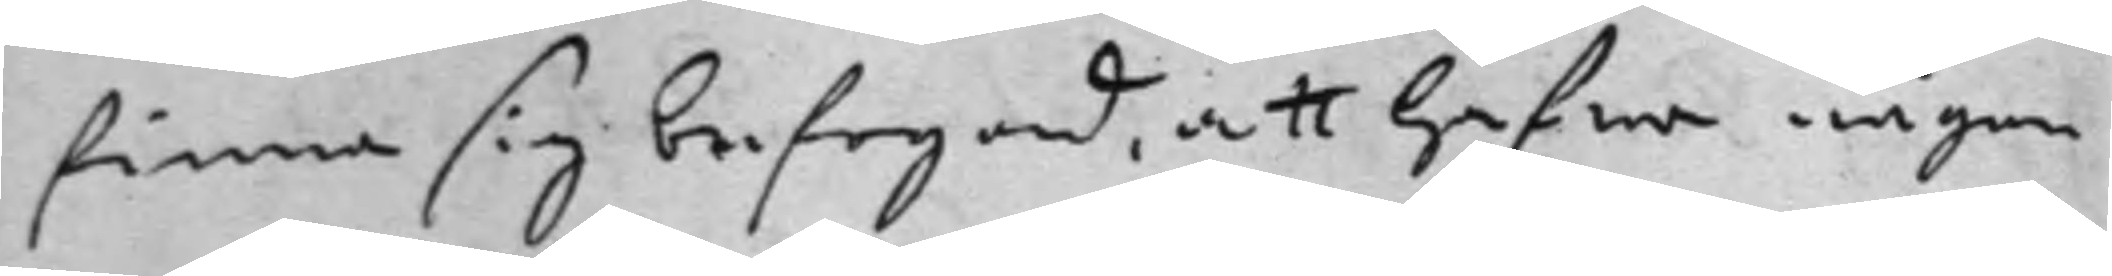finna sig befogad, att Hafwa någon
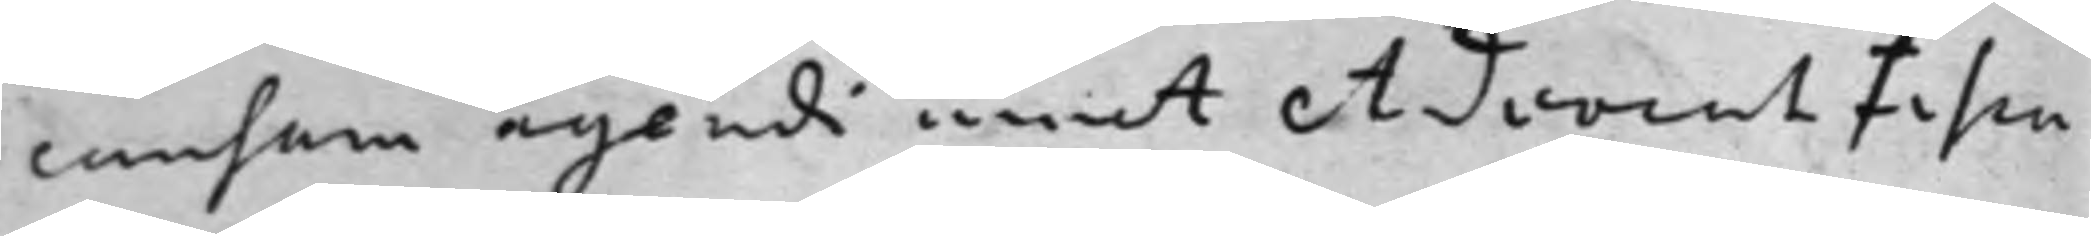causam agendi emot AdvocatFisca¬
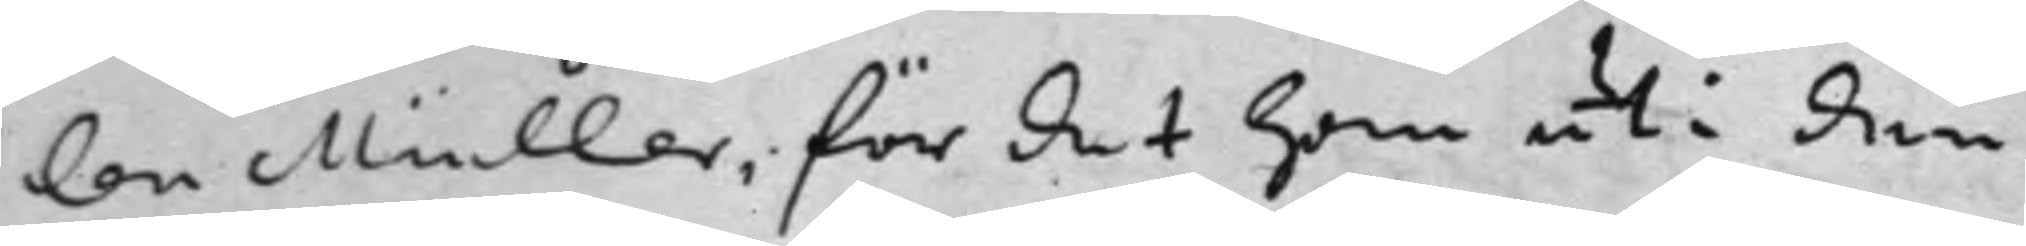len Müller, för det Han uti den
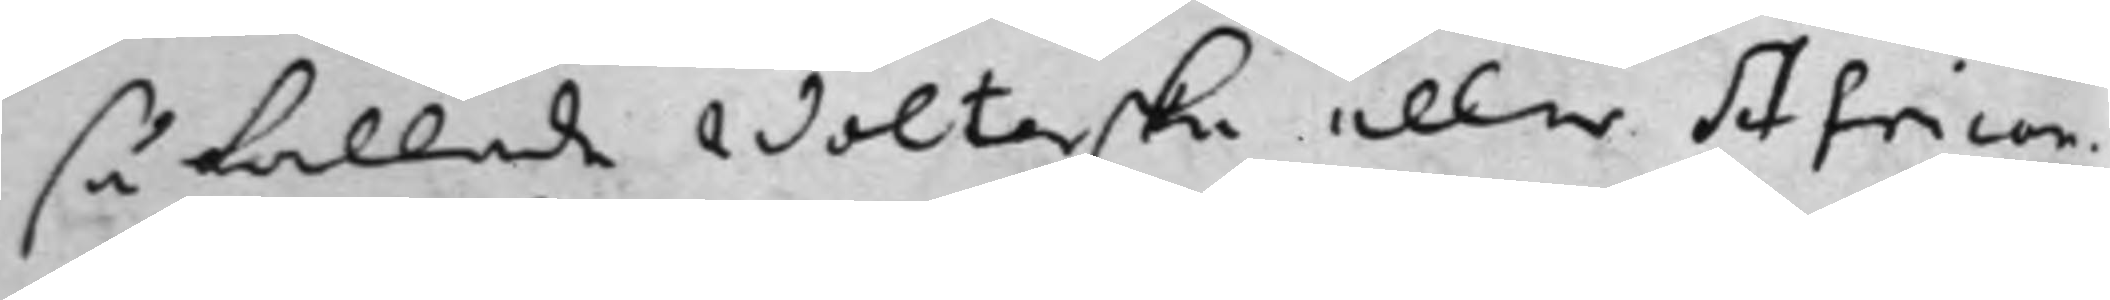så kallade Wolterska eller African¬
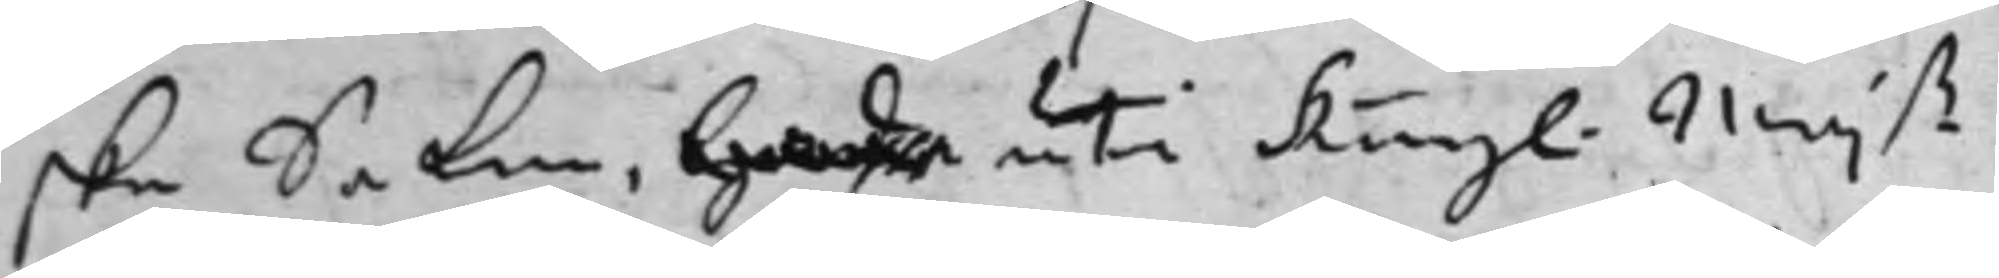ska Saken, hade uti Kongl. Maj.ß
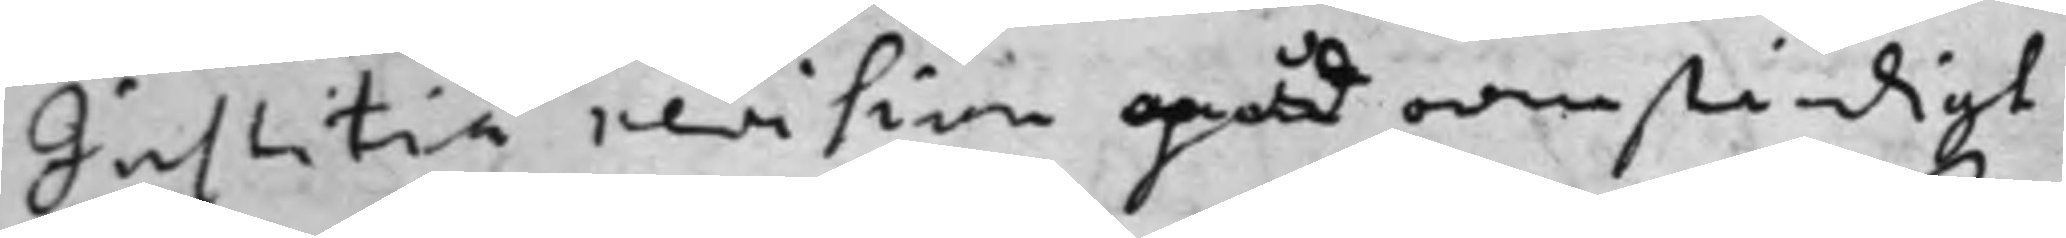Justitiä revision mpåd oanständigt
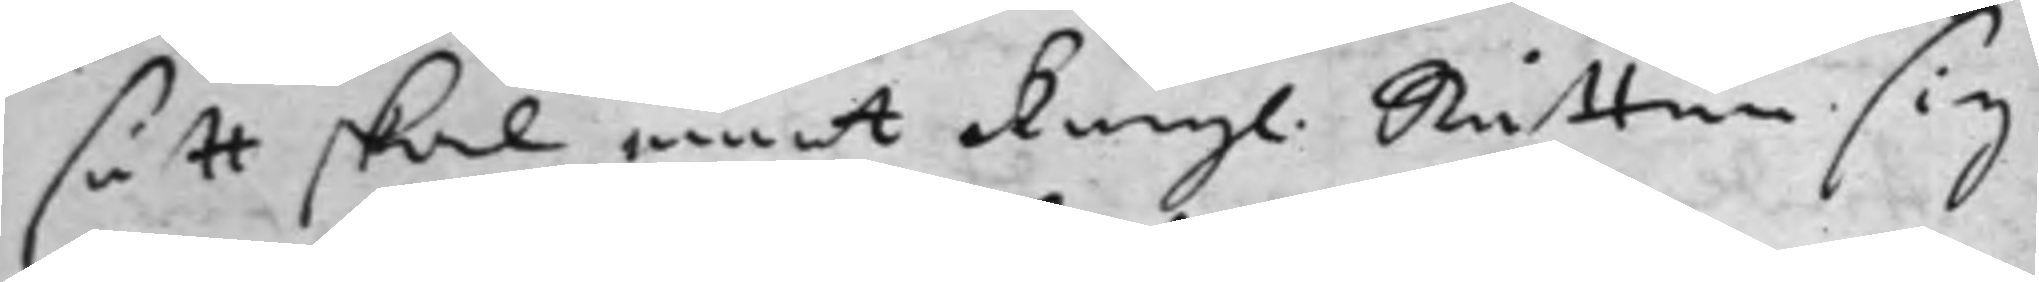sätt skal emot Kong. Rätten sig
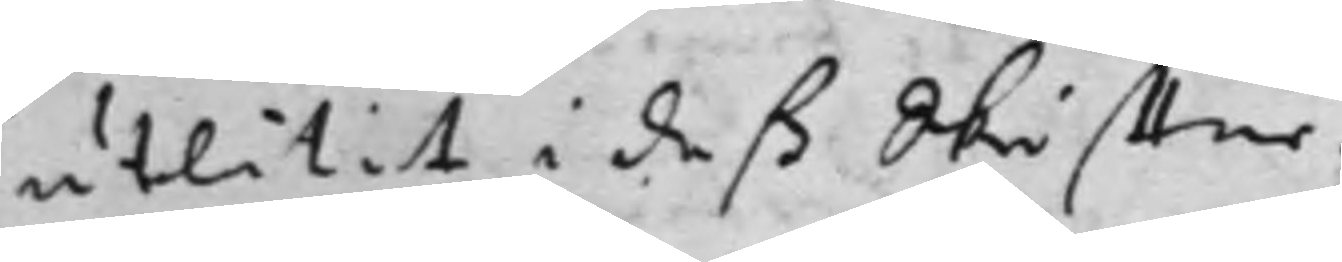utlåtit i deß Skriffter.
